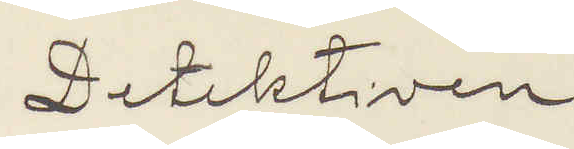Detektiven
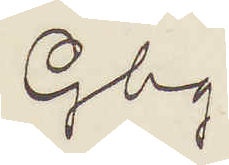Gbg.
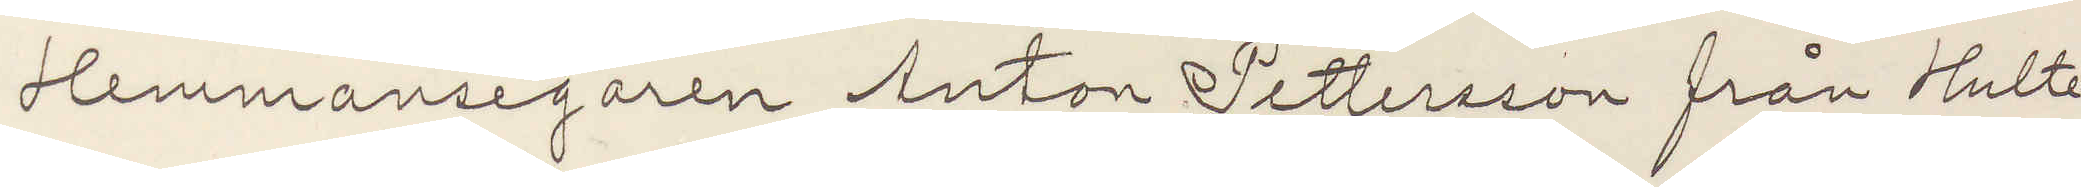Hemmansegaren Anton Pettersson från Hulte
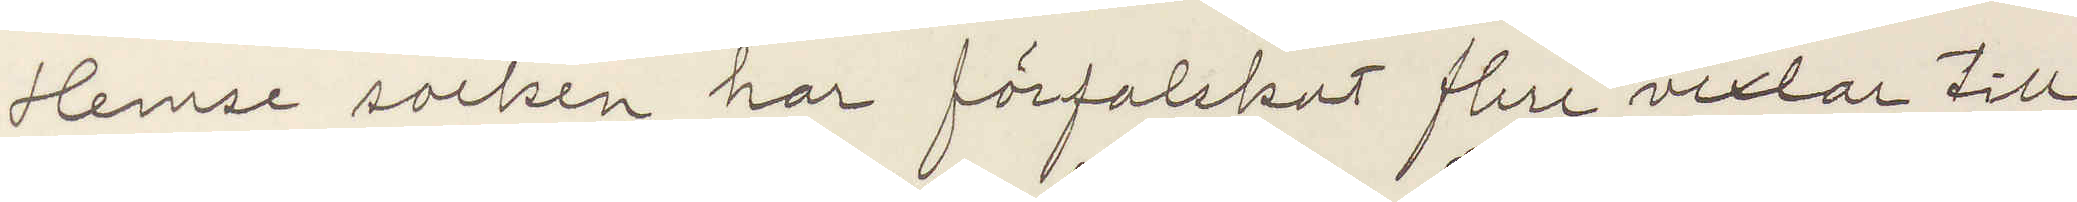Hemse socken har förfalskat flere vexlar till
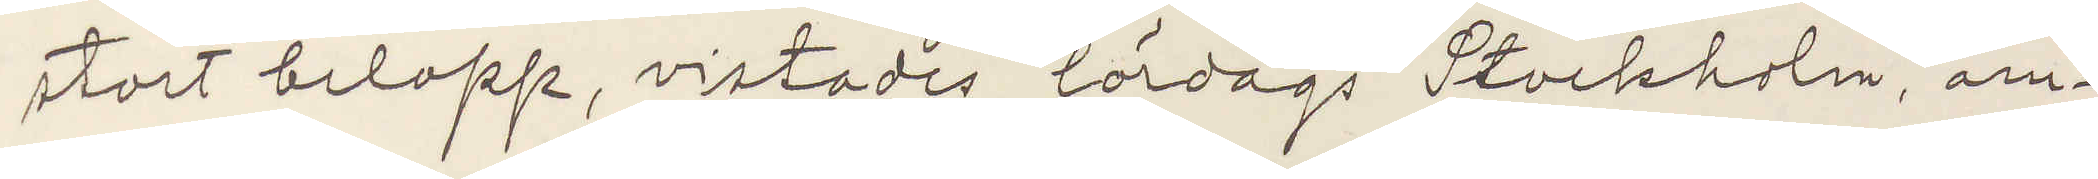stort belopp, vistades lördags Stockholm. am¬
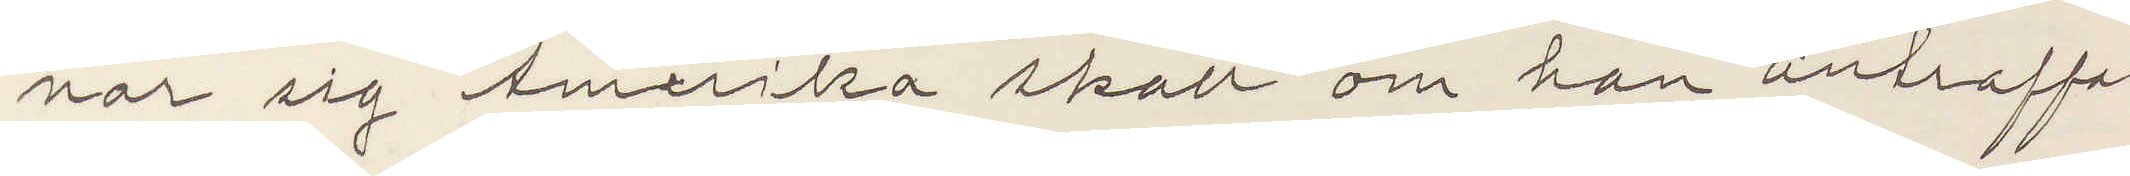nar sig Amerika skall om han antraffas
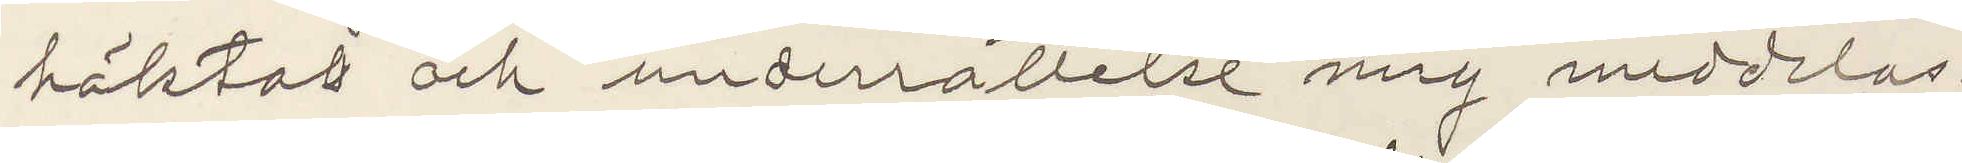häktas och underrättelse mig meddelas.
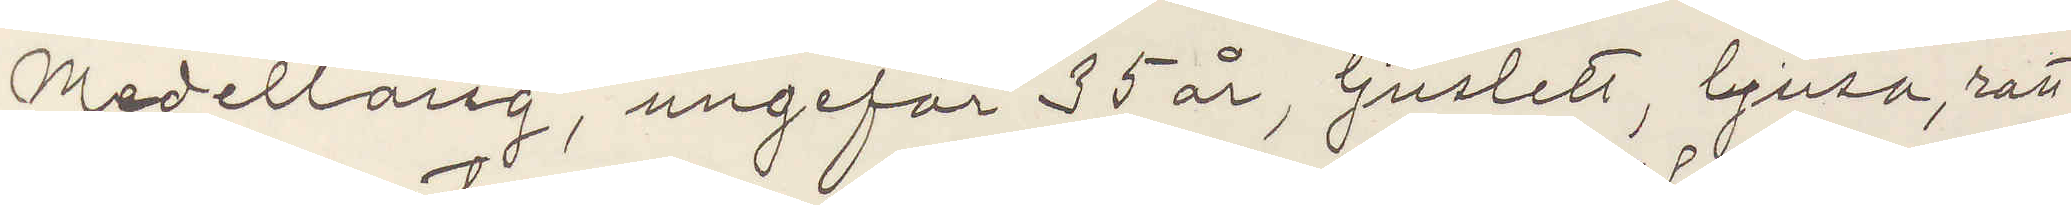Medellång, ungefär 35 år, ljuslett, ljusa, ratt
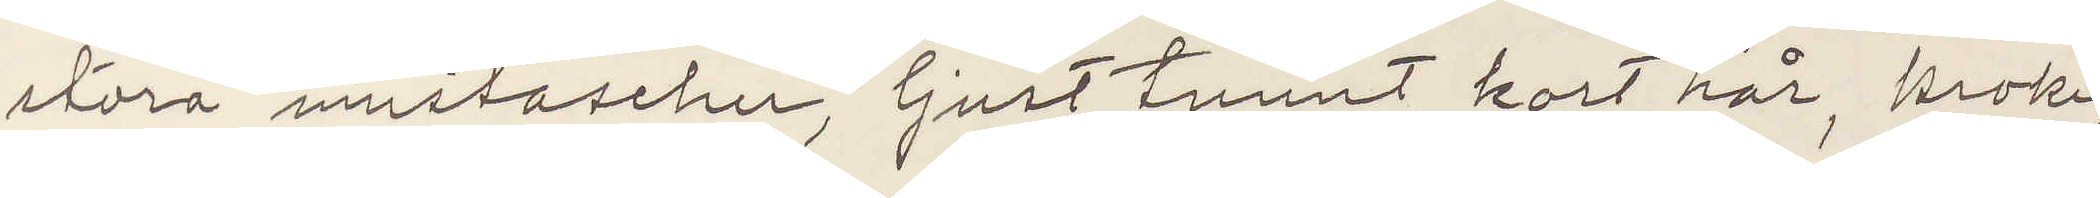stora mustascher, ljust tunnt kort hår, krokig
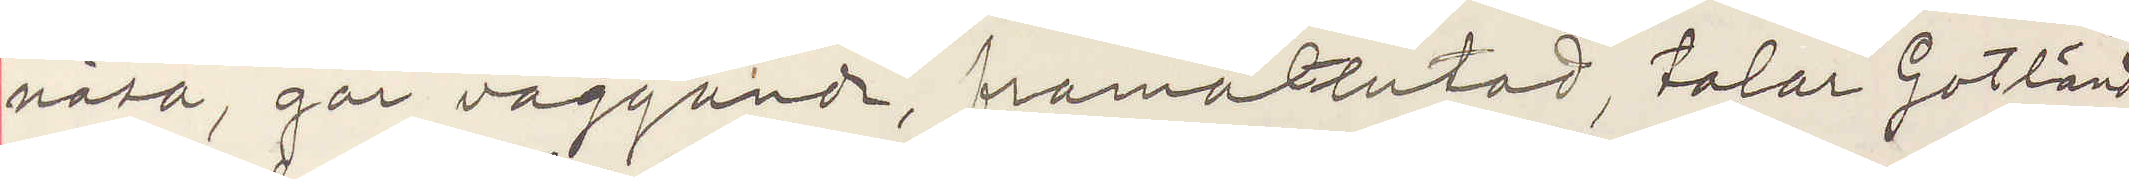näsa, går vaggande, framåtlutad, talar Gotländ¬
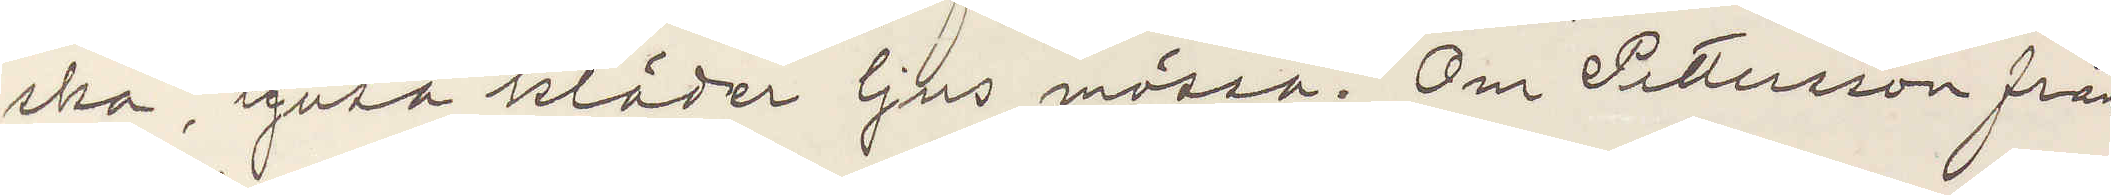ska, ljusa kläder ljus mössa. Om Pettersson från
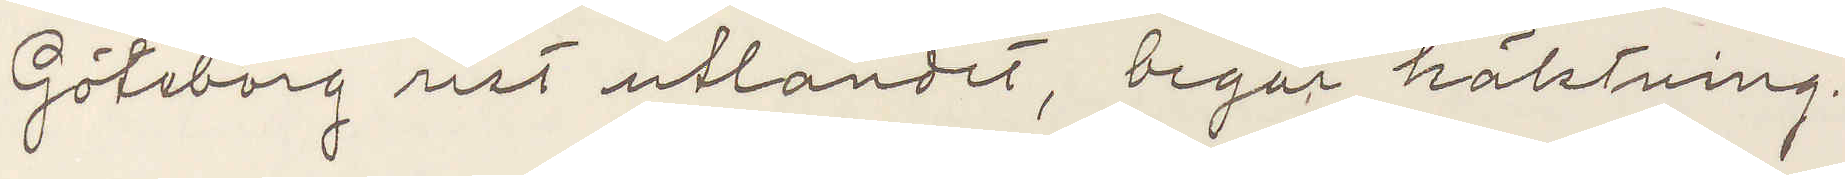Göteborg rest utlandet, begär häktning.
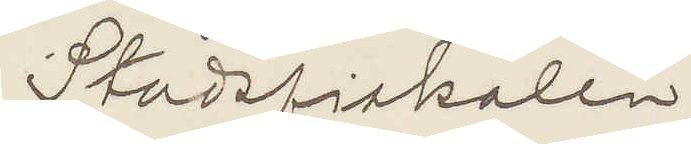Stadsfiskalen.
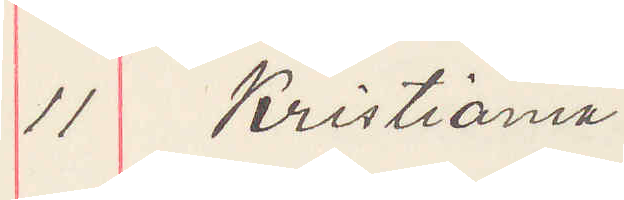11 Kristiania.
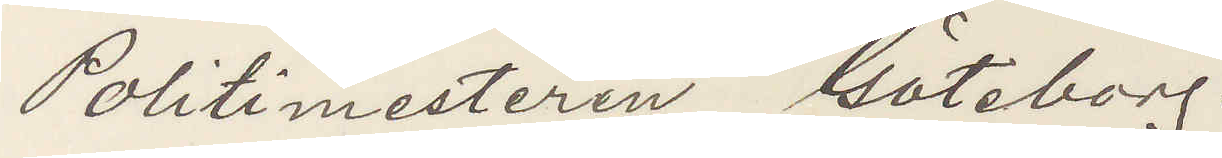Politimesteren Göteborg.
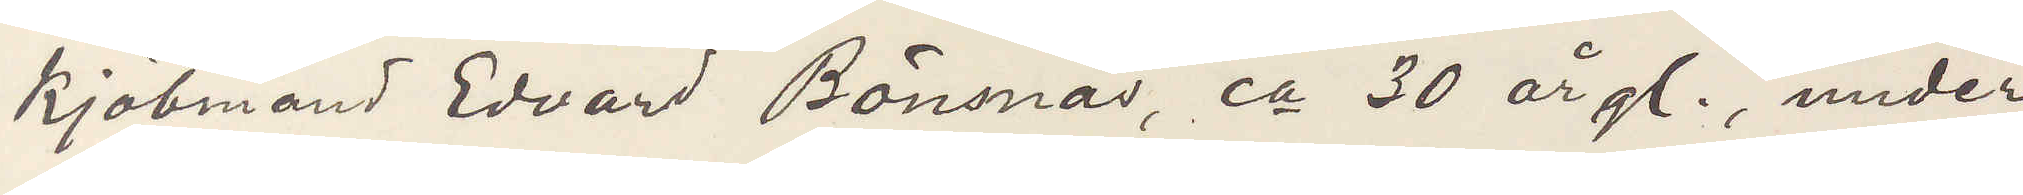Kjöbmand Edvard Bönsnäs, ca 30 år gl, under
